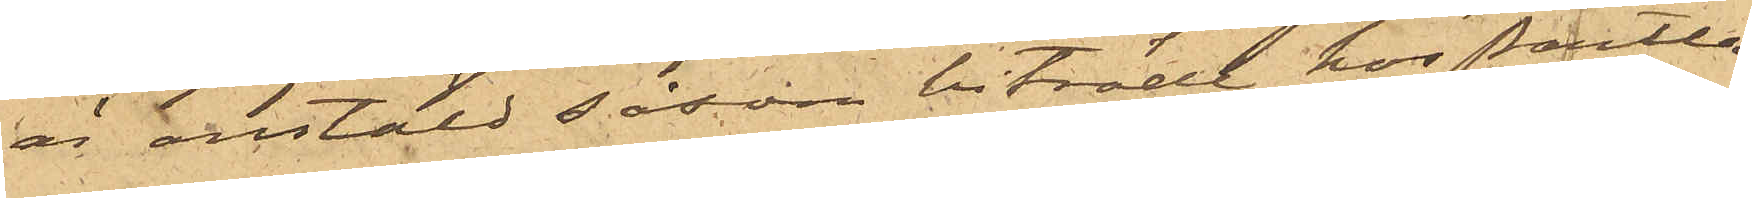är anstäld såsom biträde hos Pantlå¬
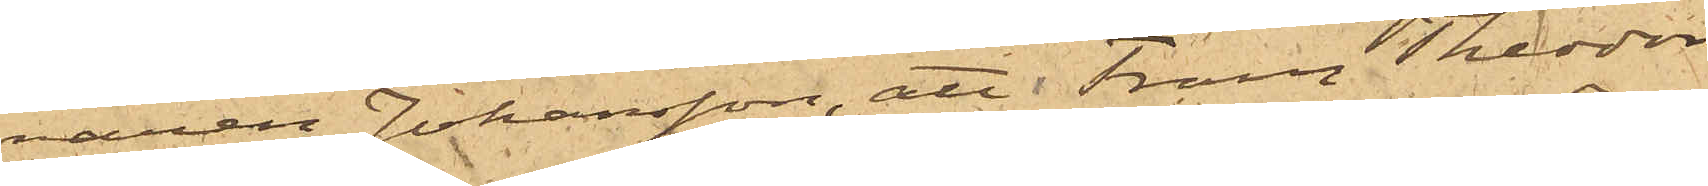naren Johansson, att Frans Theodor
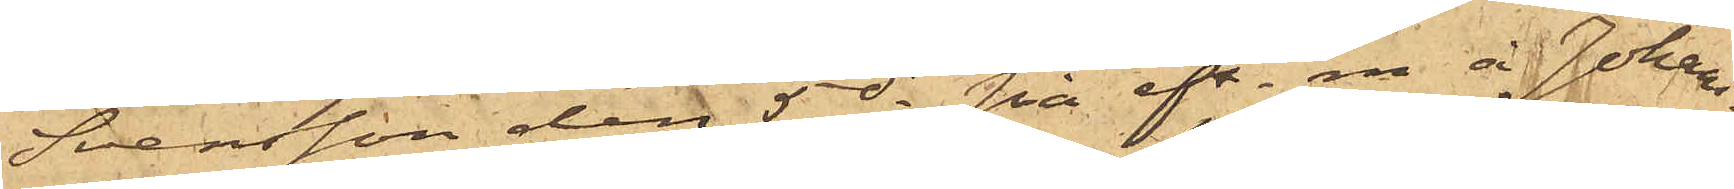Svensson den 5 ds på eft.m. å Johans¬
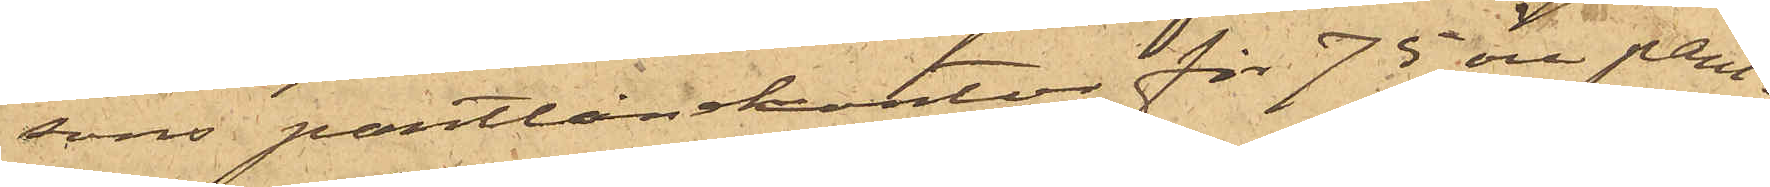sons pantlånekontor för 75 öre pant¬
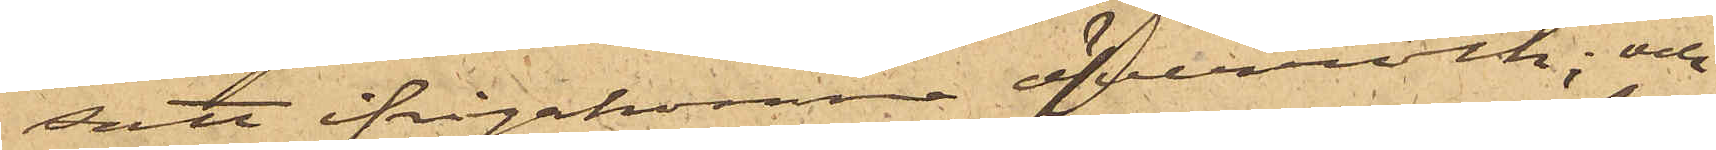satt ifrågakomne öfverrock; och
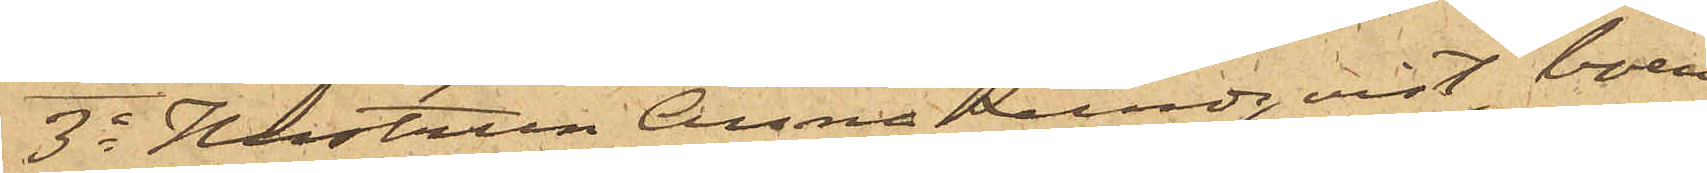3o Hustrun Anna Lundqvist, boen¬
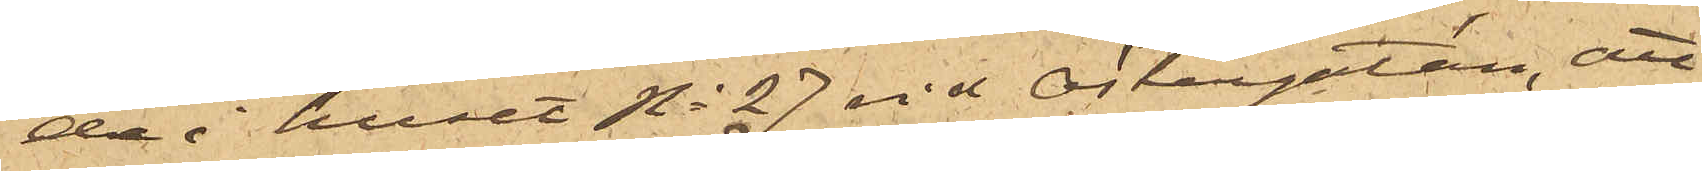de i huset No 27 vid Östergatan, att
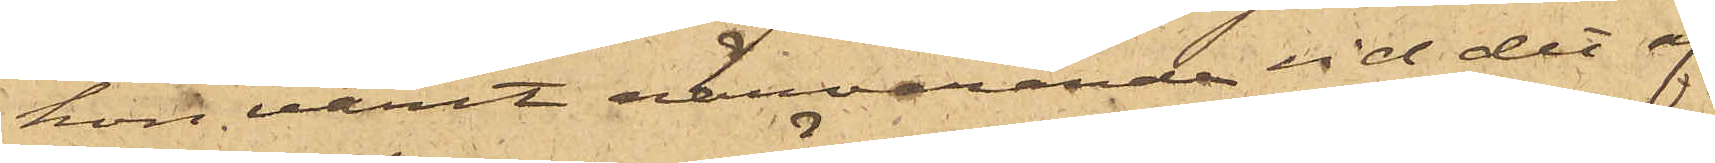hon varit närvarande vid det af
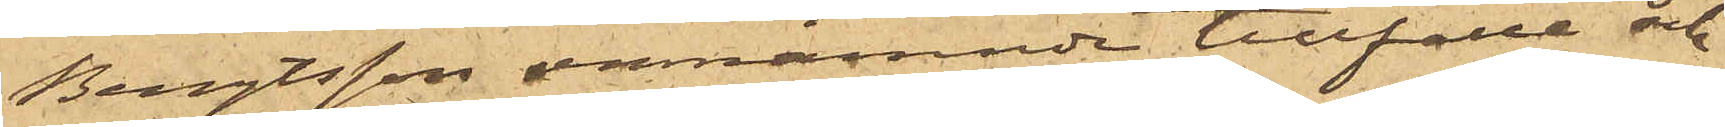Bengtsson omnämnde tillfälle och
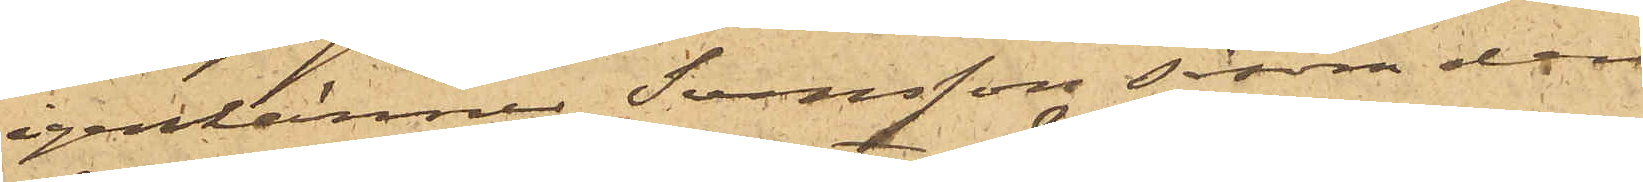igenkänner Svensson såsom den
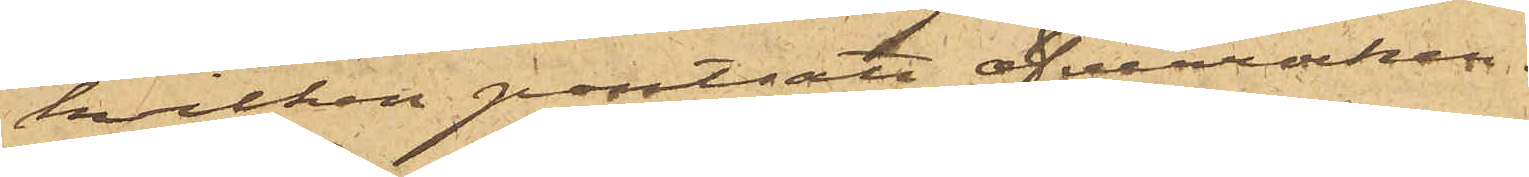hvilken pantsatt öfverrocken.
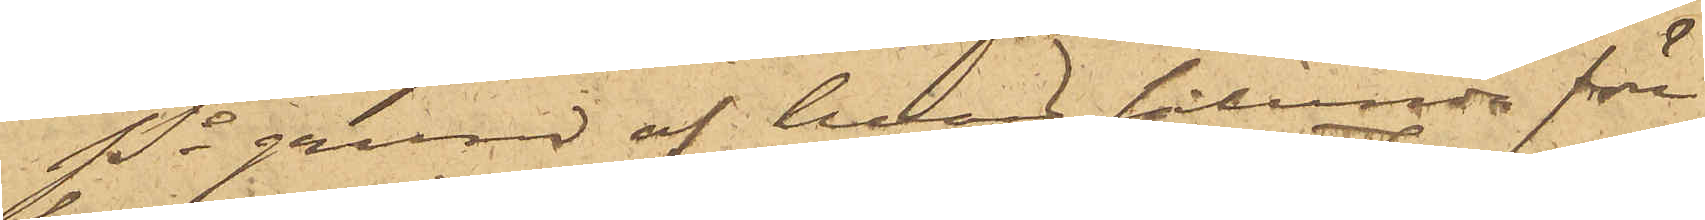På grund af hvad sålunda före¬
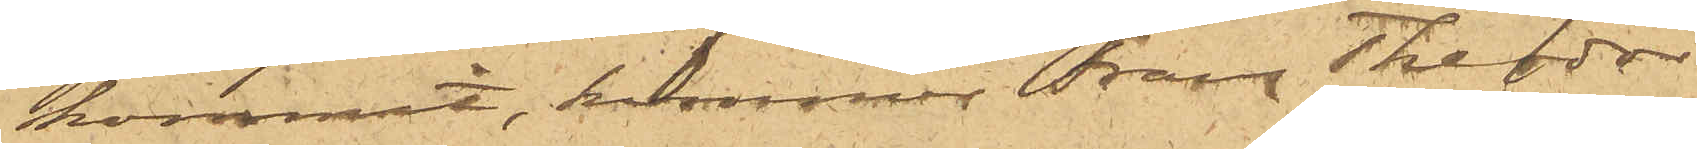kommit, kommer Frans Theodor
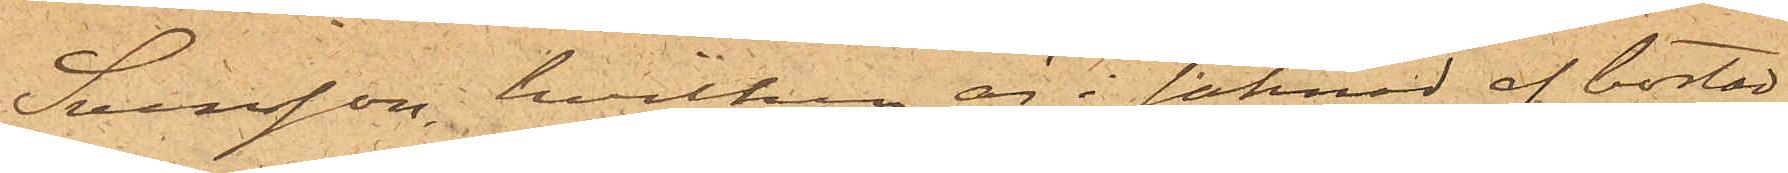Svensson, hvilken är i saknad af bostad,
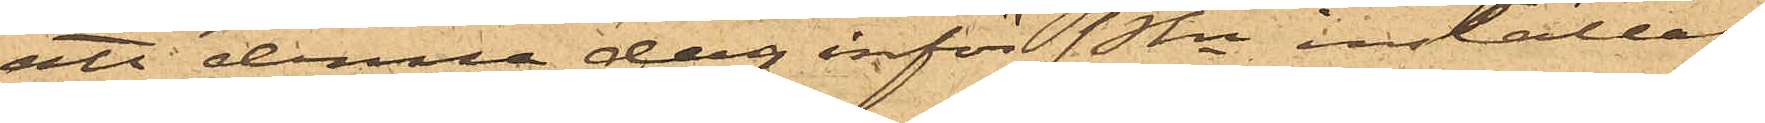att denna dag inför PKn, inställas.
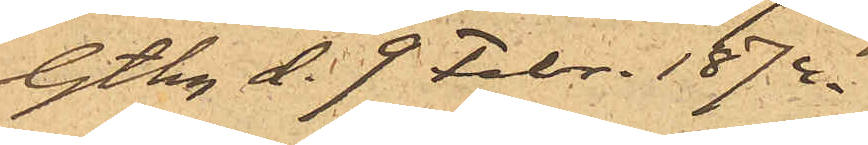Gtbg d. 9 Febr. 1874.
